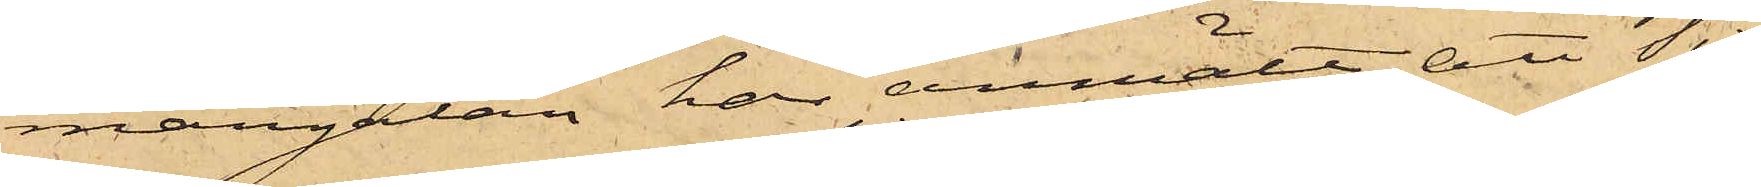mangatan, har anmält att Tis¬
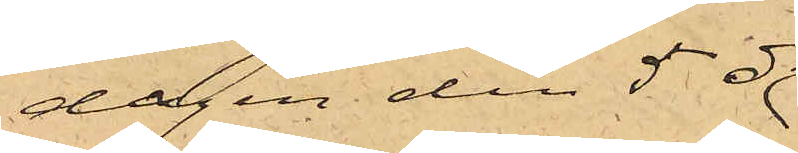dagen den 5 ds
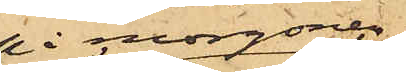å morgonen
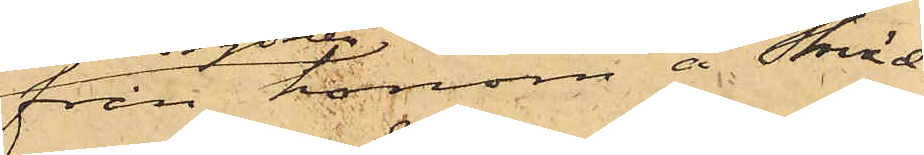från honom å Skräd¬
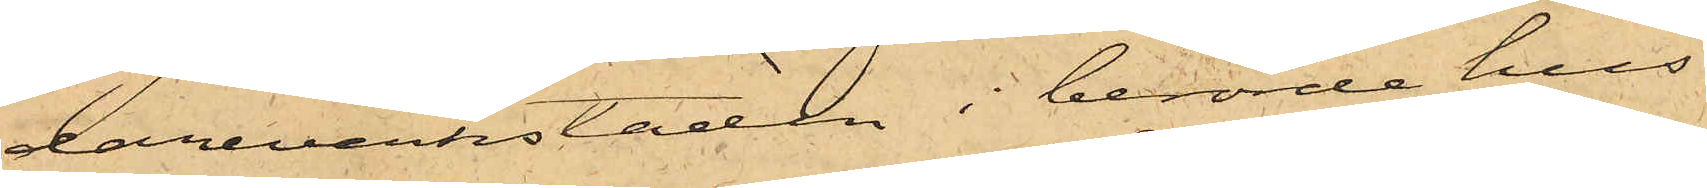dareverkstaden i berörde hus
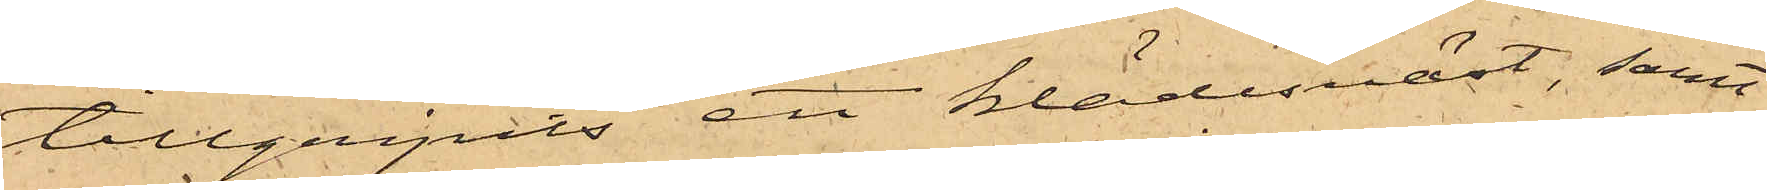tillgripits ett klädesväst, samt
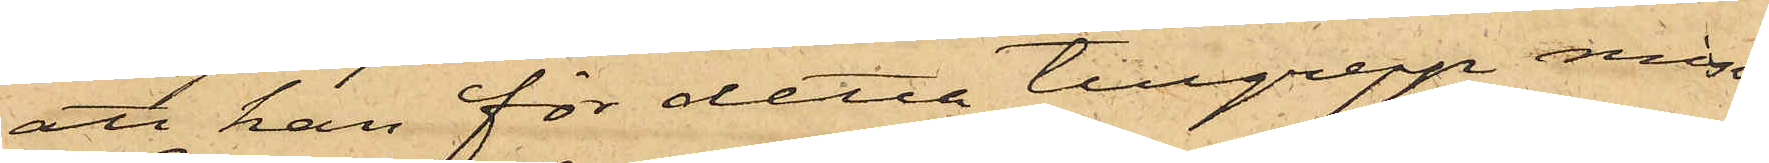att han för detta tillgrepp miss¬
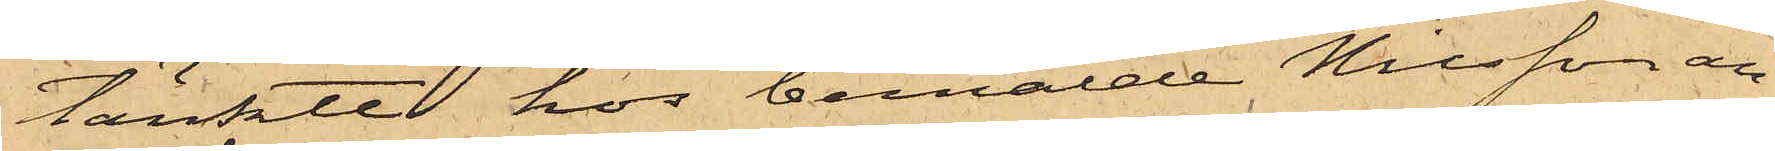tänkte hos bemälde Nilsson an¬
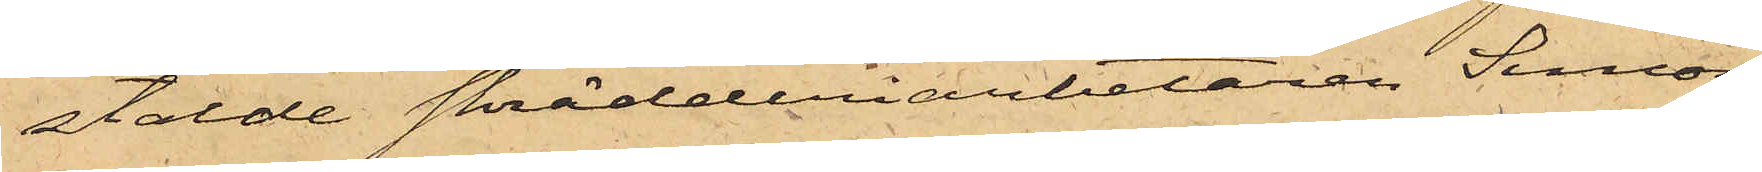stälde skrädderiarbetaren Simon
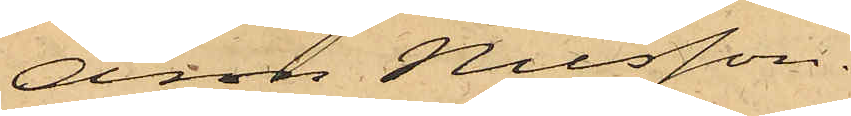Aron Nilsson.
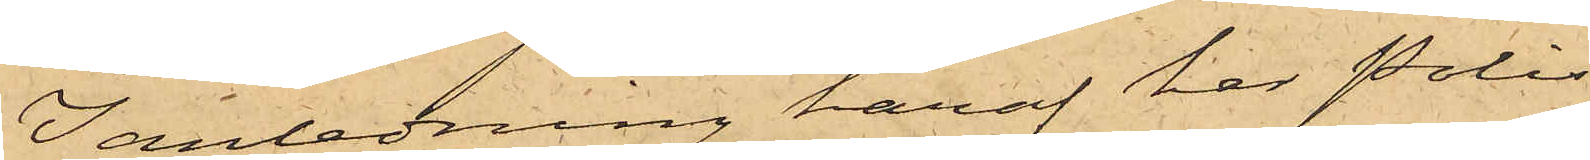I anledning häraf har Polis¬
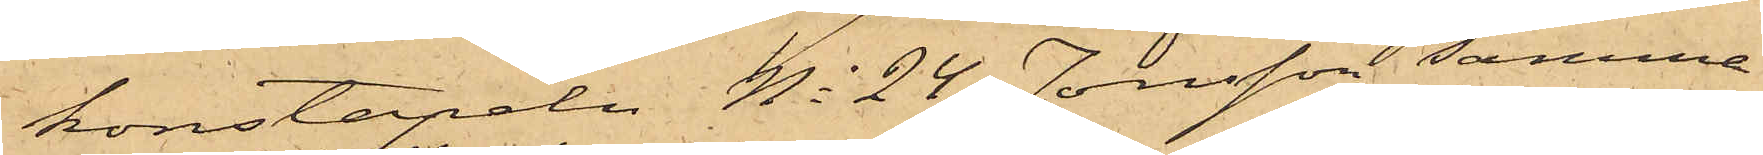konstapeln No 24 Jonsson samma
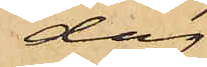dag
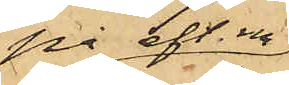på eft. m.
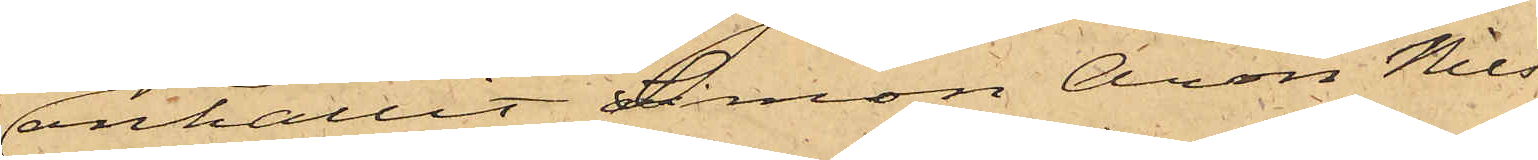anhållit Simon Aron Nils¬
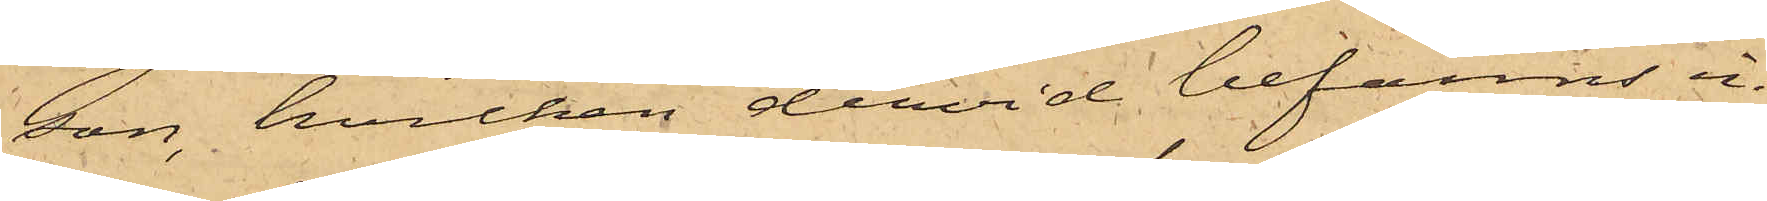son, hvilken dervid befanns in¬
